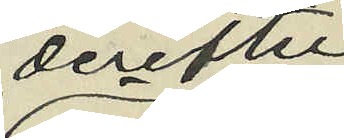derefter
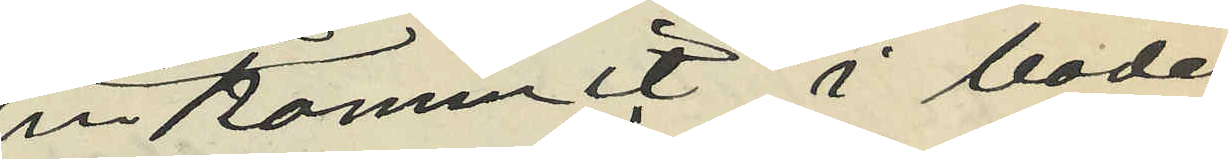inkommit i boden
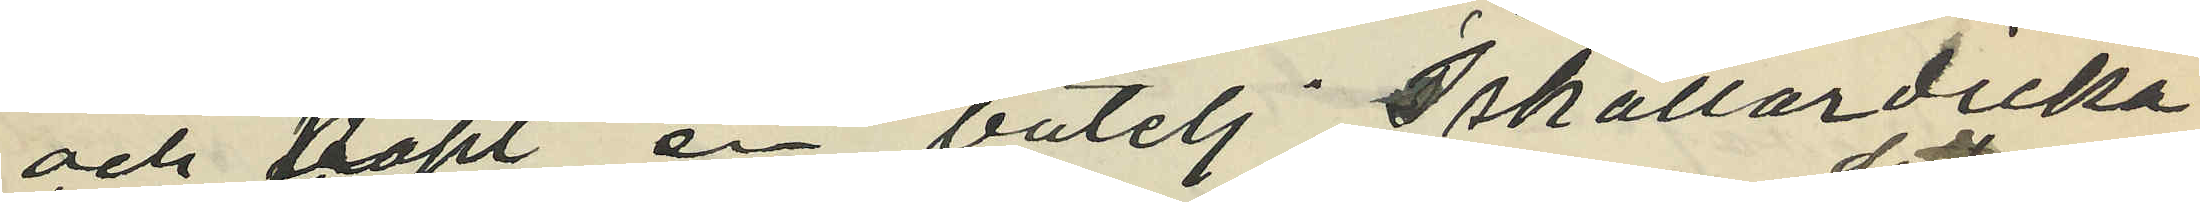och köpt en butelj  Iskällardricka
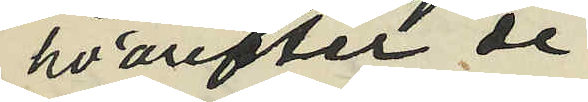hvarefter de
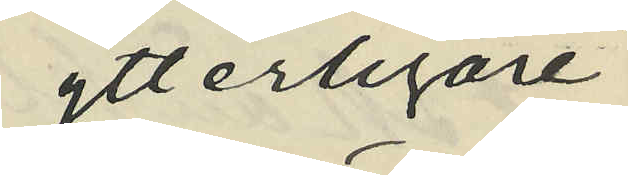ytterligare
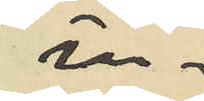in¬
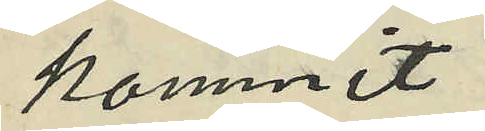kommit
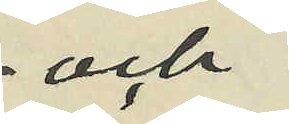och
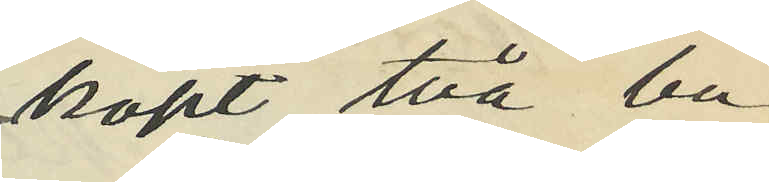köpt två bu¬
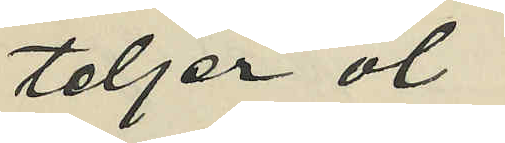teljer öl
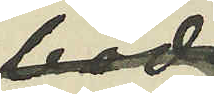i boden
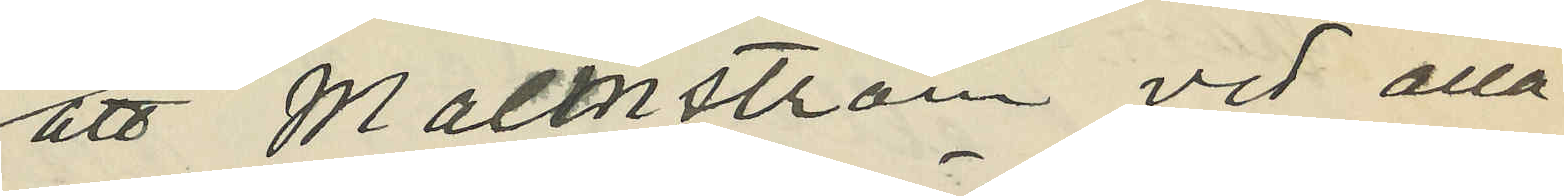att Malmström vid alla
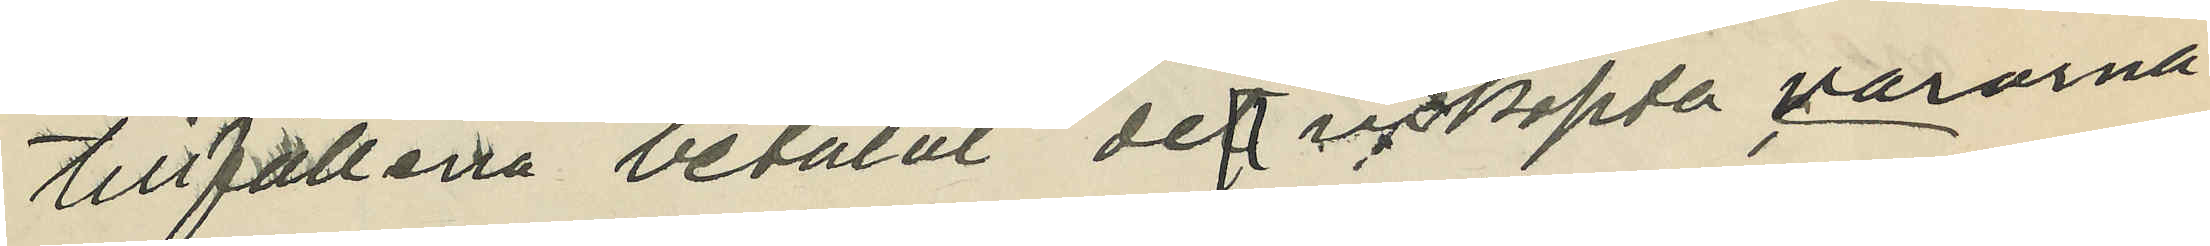tillfällena betalat de inköpta varorna.
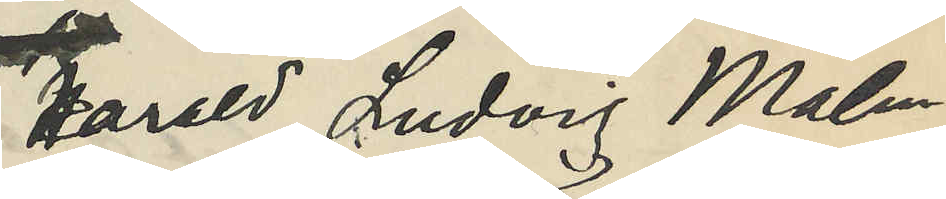Harald Ludvig Malm¬
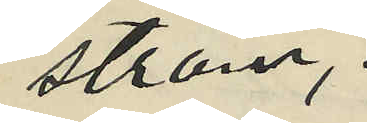ström;
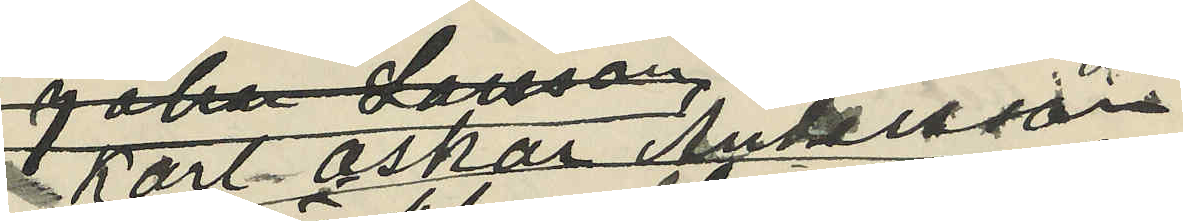Karl Oskar Andersson
